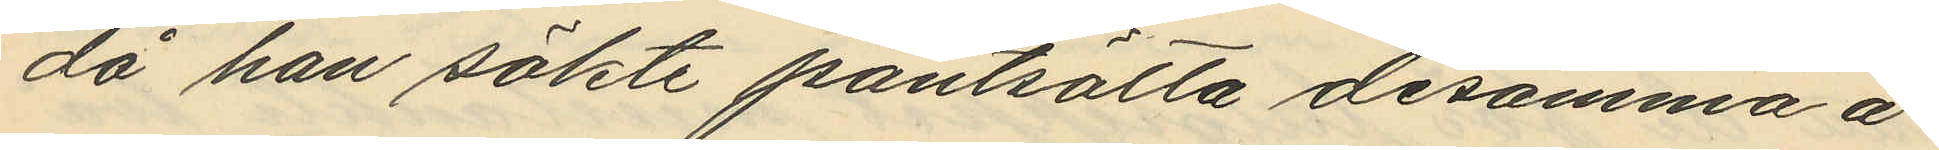då han sökte pantsätta desamma å
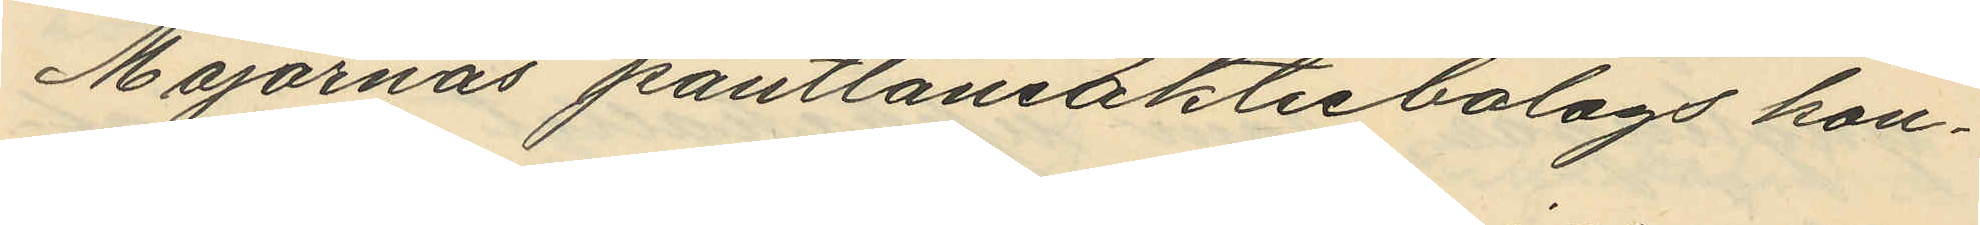Majornas pantlåneaktiebolags kon¬
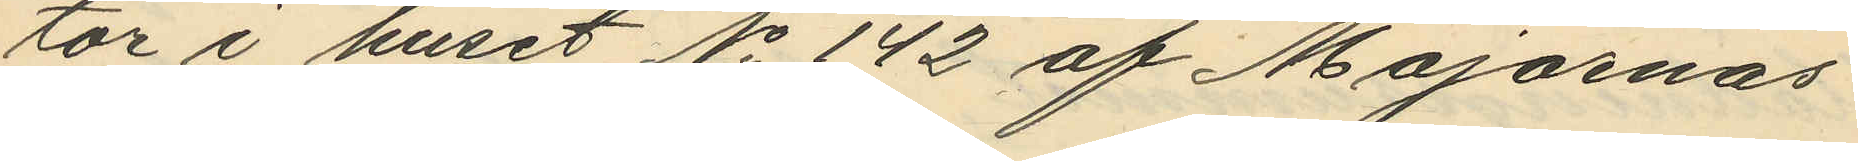tor i huset No 142 af Majornas
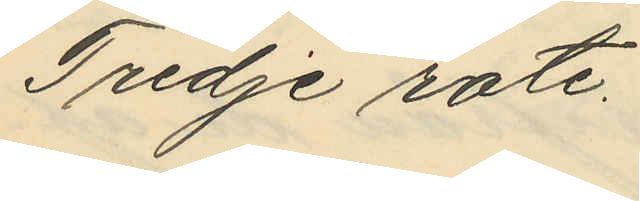Tredje rote.
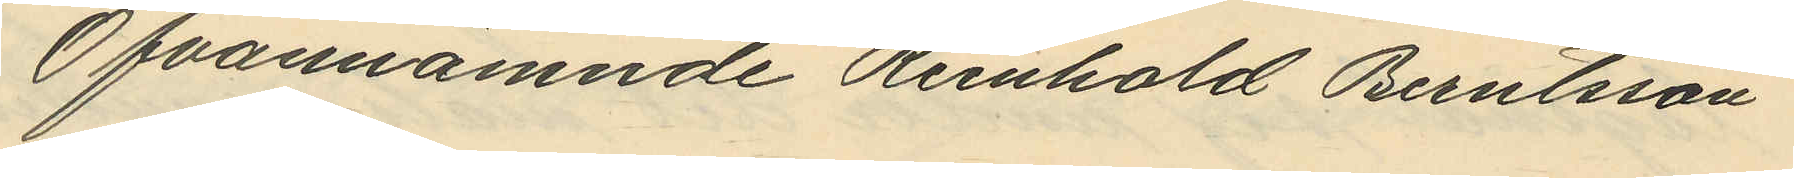Ofvannämnde Reinhold Berntsson
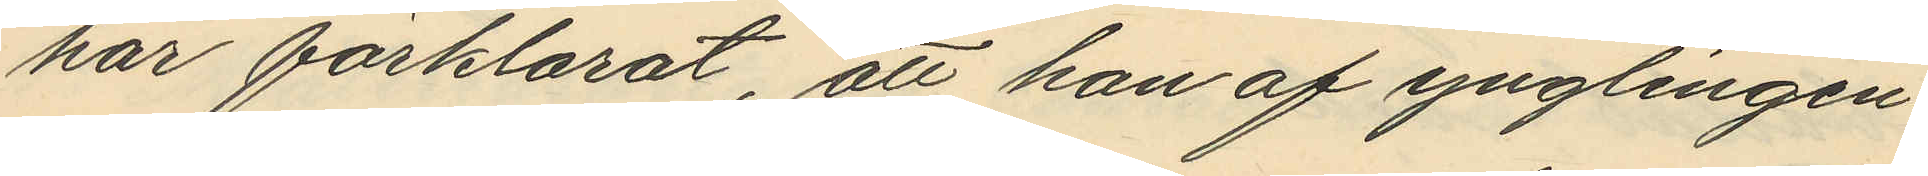har förklarat, att han af ynglingen
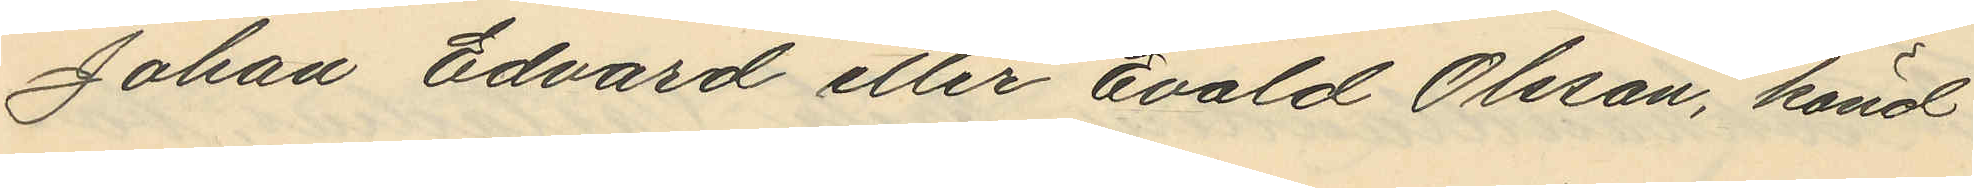Johan Edvard eller Evald Olsson, känd
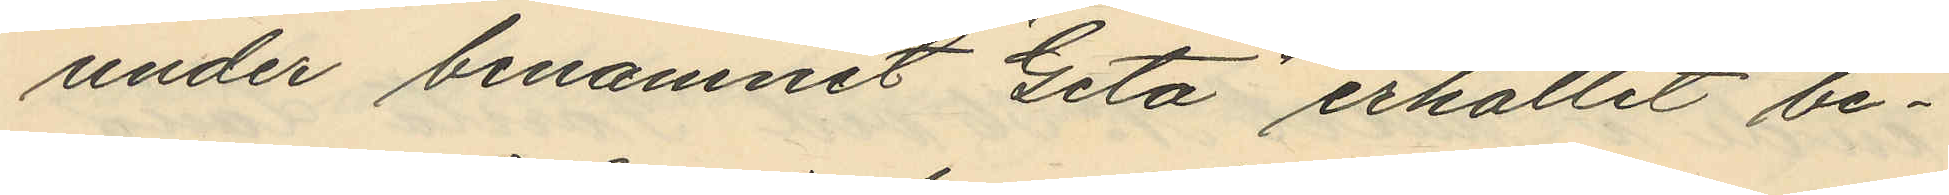under binamnet "Geta" erhållit be¬
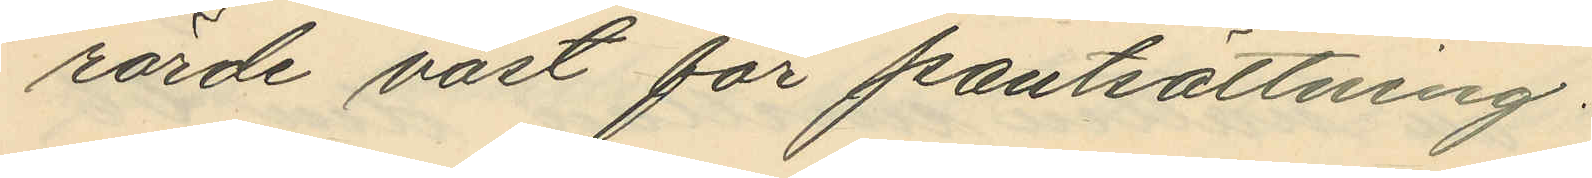rörde väst för pantsättning.
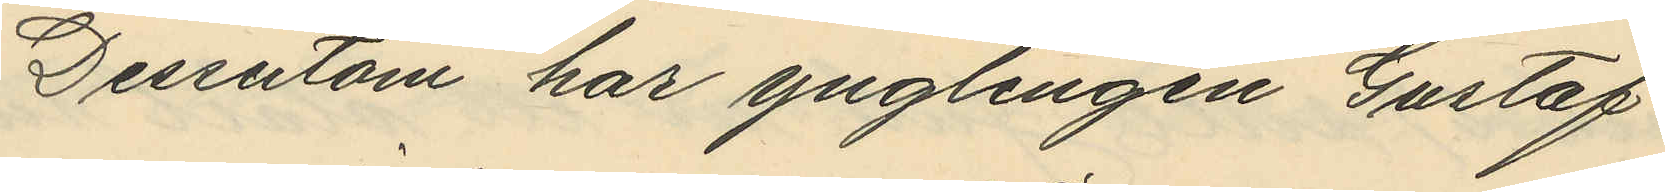Dessutom har ynglingen Gustaf
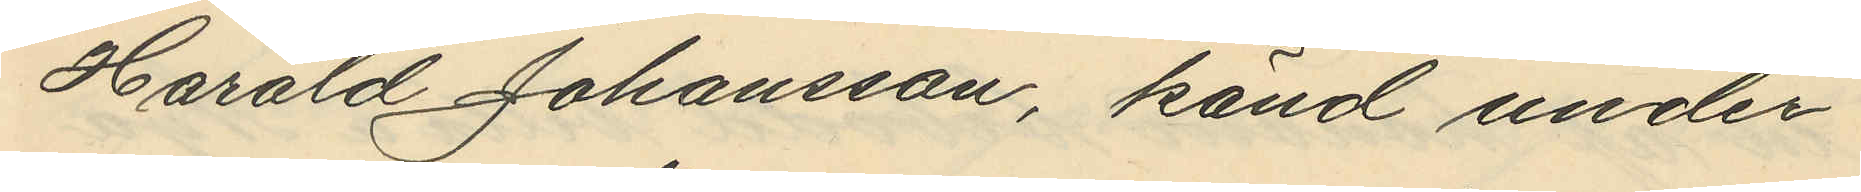Harald Johansson, känd under
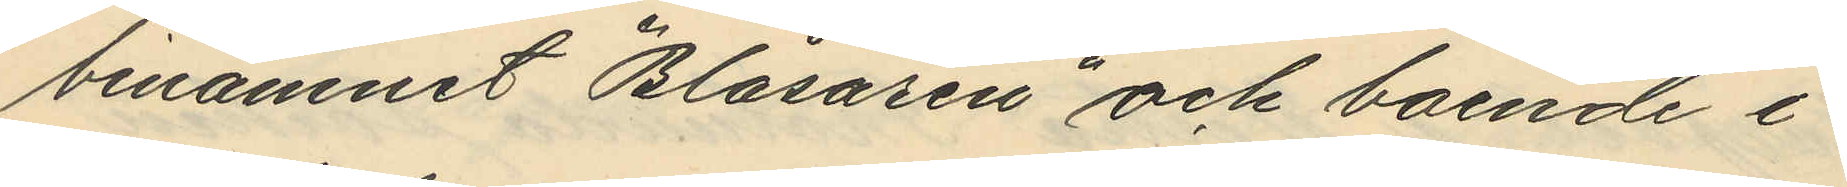binamnet "Blåsaren" och boende i
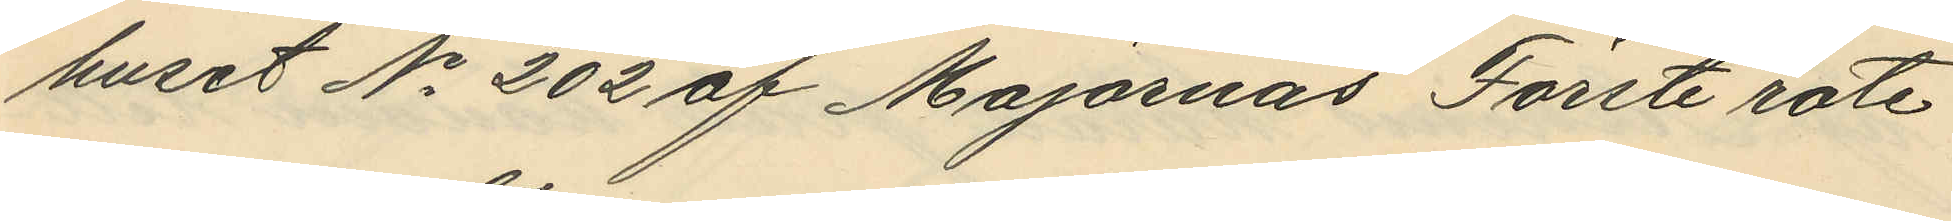huset No 202 af Majornas Förste rote
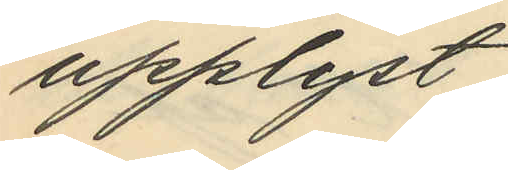upplyst:
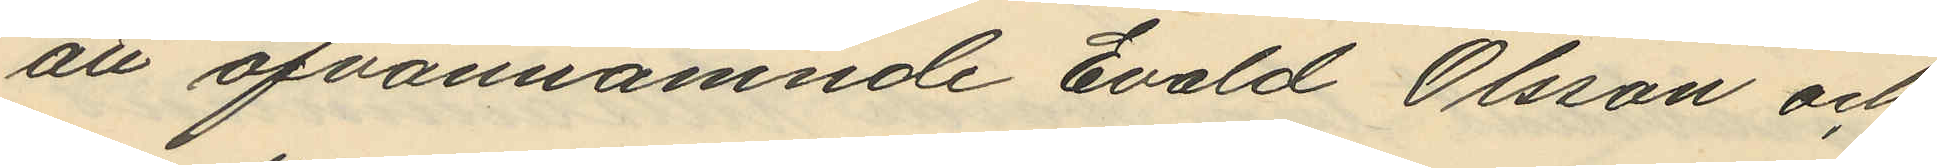att ofvannämnde Evald Olsson och
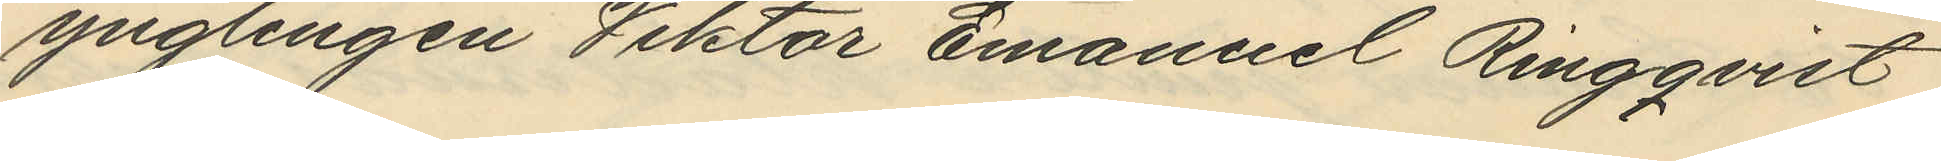ynglingen Viktor Emanuel Ringqvist
